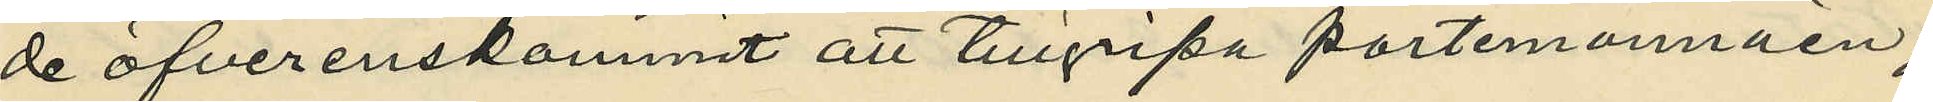de öfverenskommit att tillgripa portmonnäen;
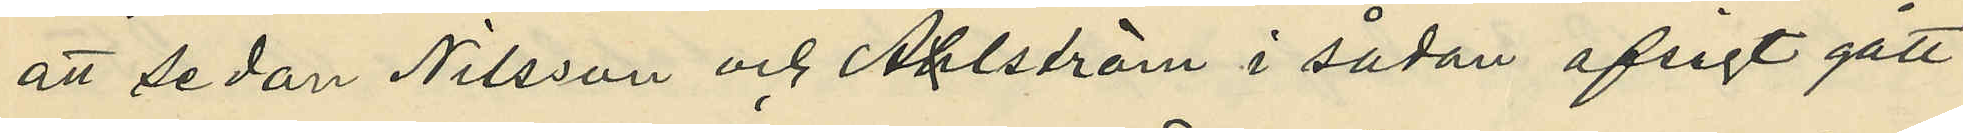att sedan Nilsson och Ahlström i sådan afsigt gått
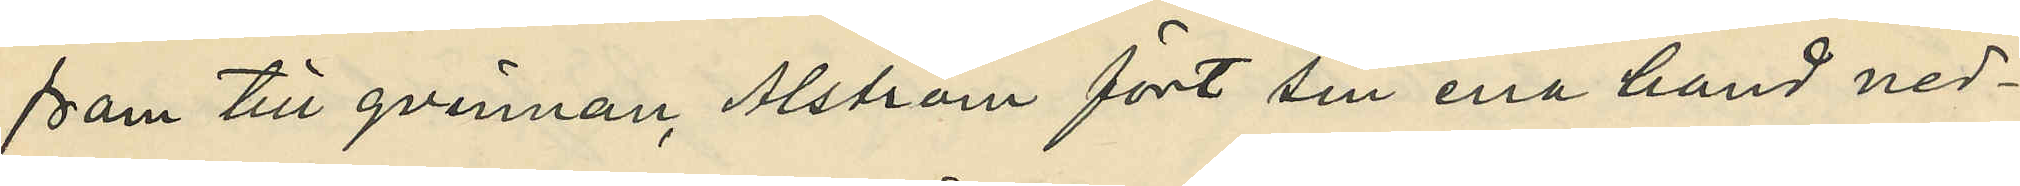fram till qvinnan Ahlström fört sin ena hand ned¬
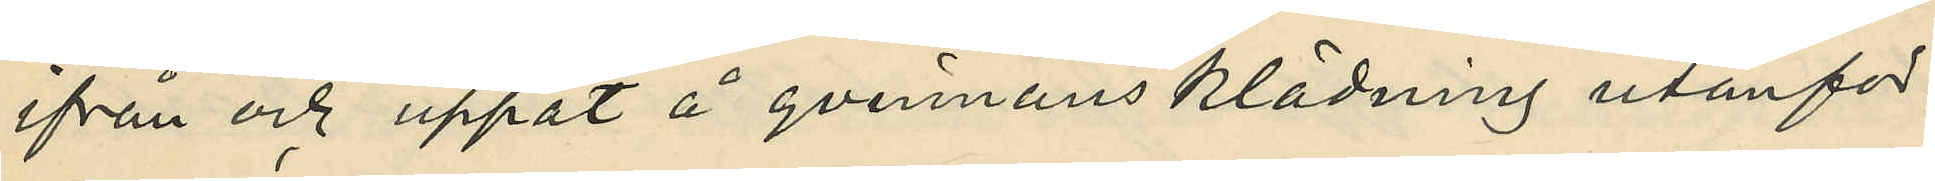ifrån och uppåt å qvinnans klädning utanför
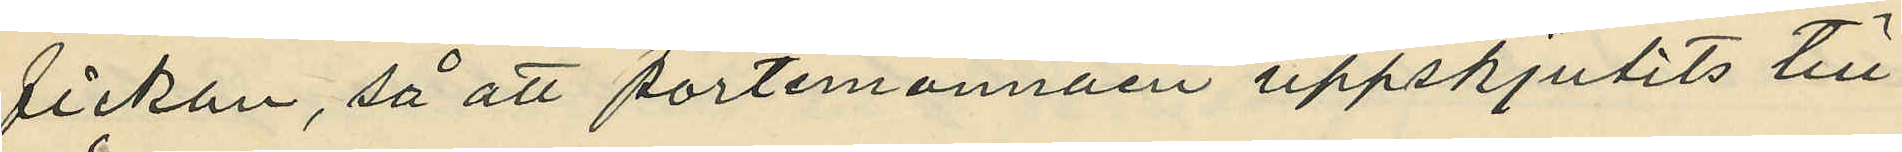fickan, så att portmonnäen uppskjutits till
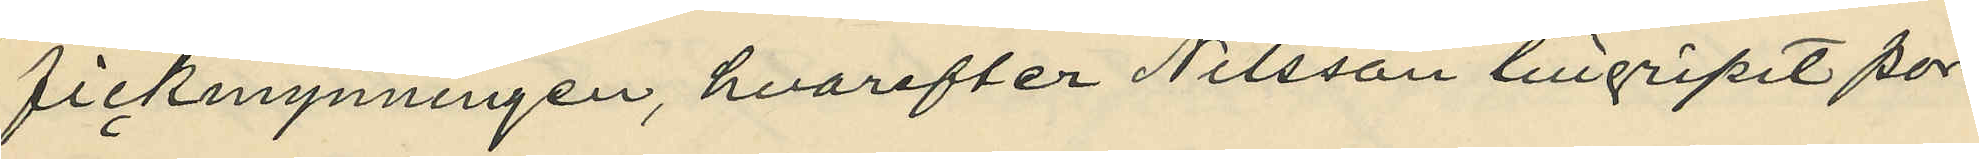fickmynningen, hvarefter Nilsson tillgripit por¬
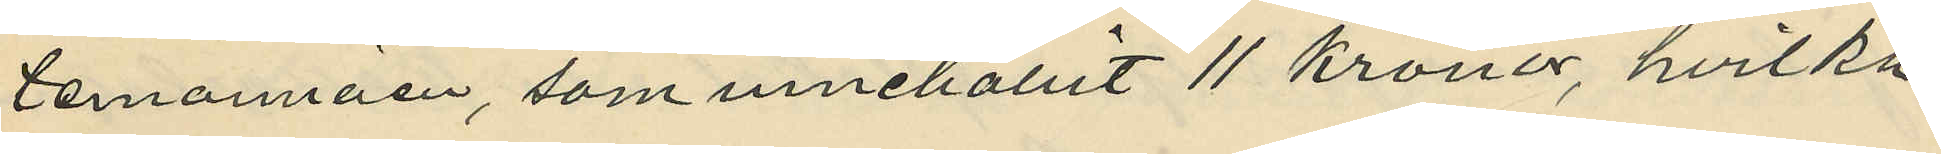temonnäen, som innehållit 11 kronor, hvilka
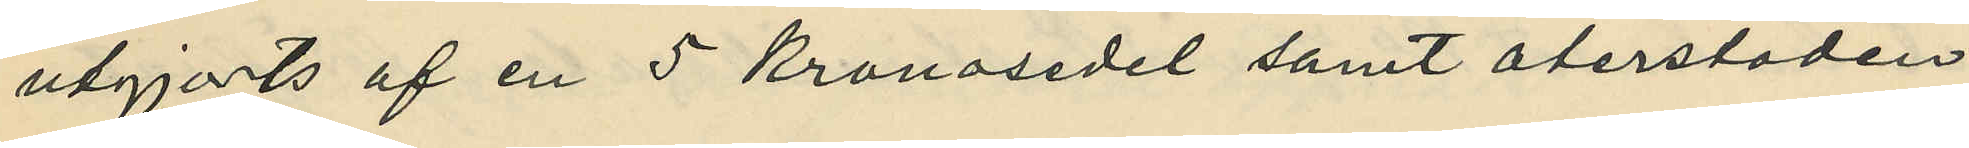utgjorts af en 5 kronosedel samt återstoden
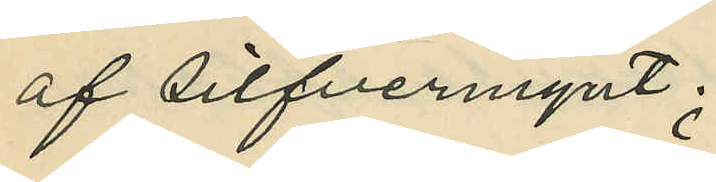af silfvermynt;
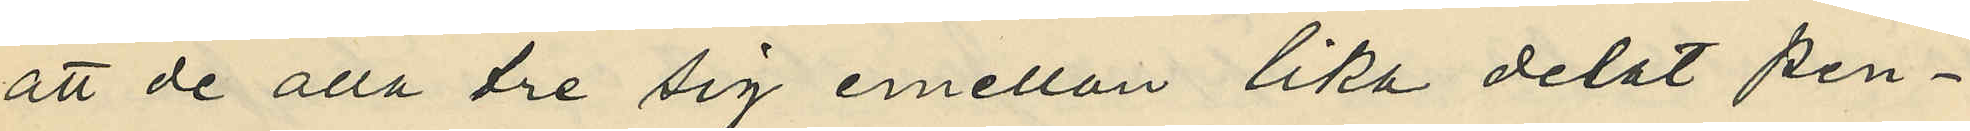att de alla tre sig emellan lika delat pen¬
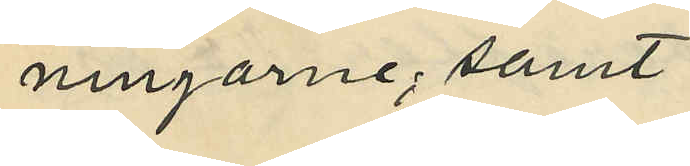ningarne; samt
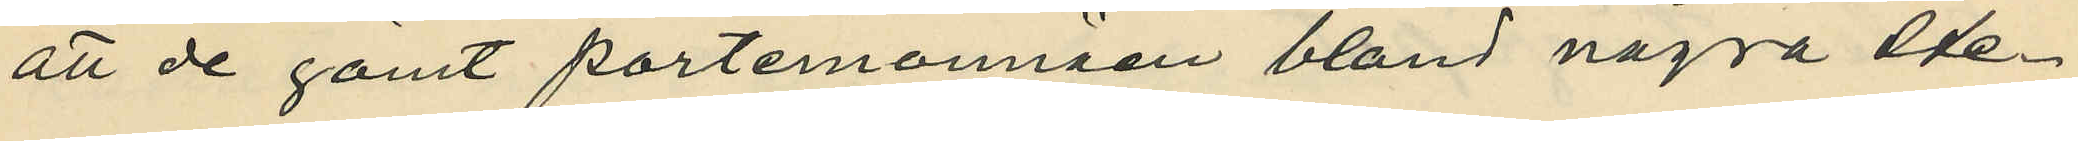att de gömt portmonnäen bland några ste¬
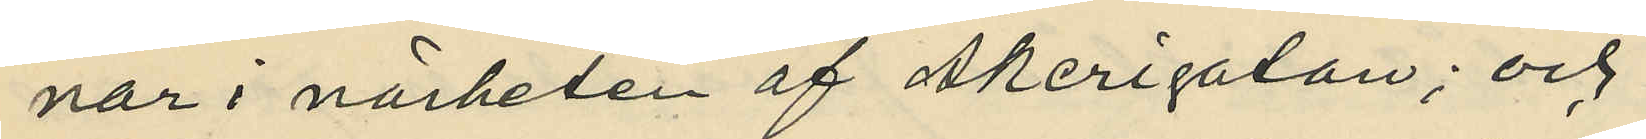nar i närheten af Åkerigatan; och
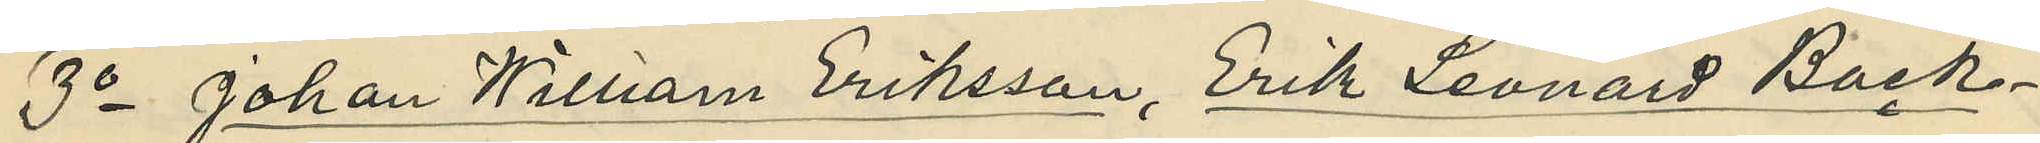3o Johan William Eriksson, Erik Leonard Bäck¬
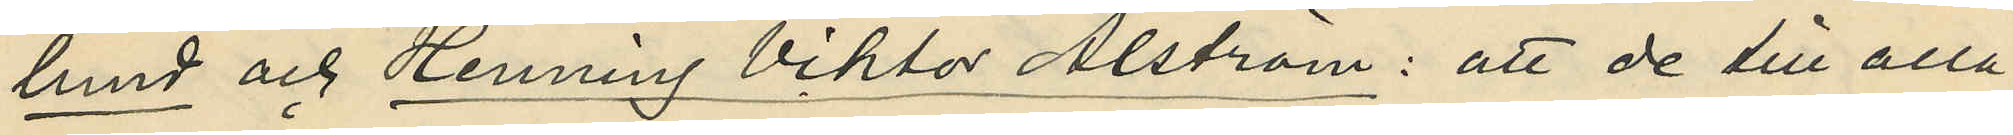lund och Henning Viktor Ahlström: att de till alla
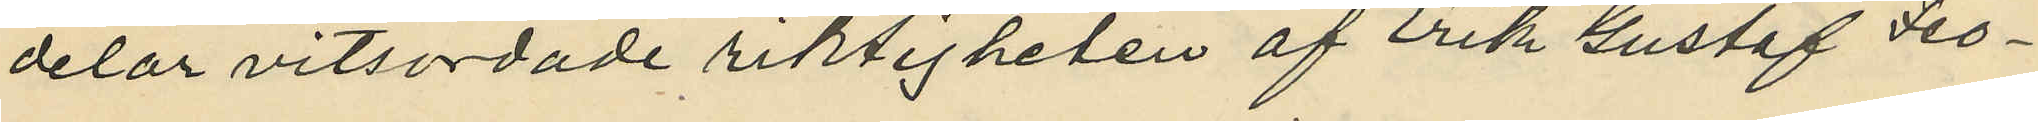delar vitsordade riktigheten af Erik Gustaf Teo¬
